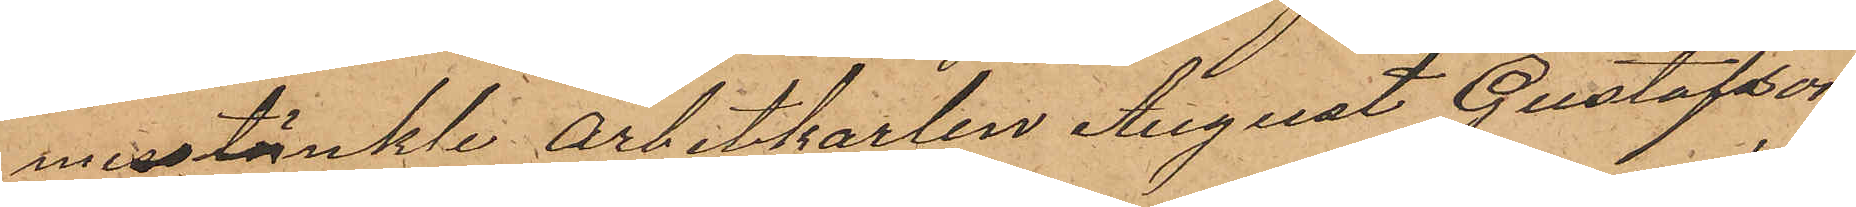misstänkte arbetskarlen August Gustafsson
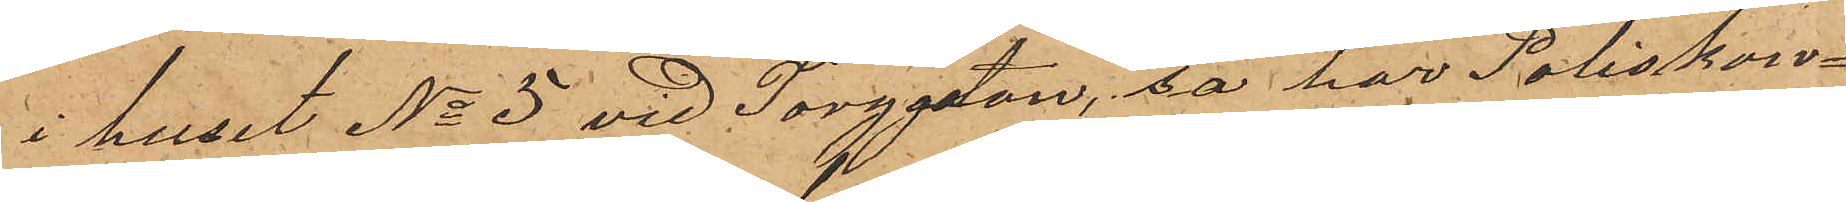i huset No 5 vid Torggatan, så har Poliskon¬
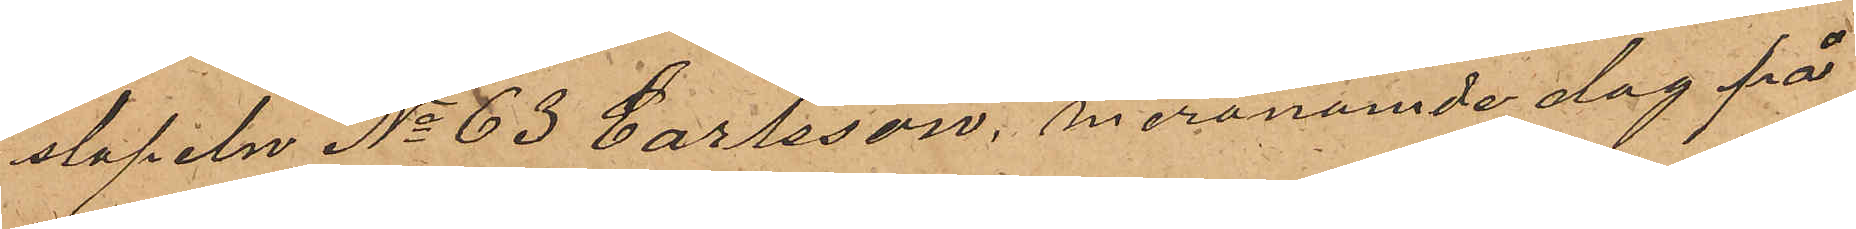stapeln No 63 Carlsson, meranämde dag på
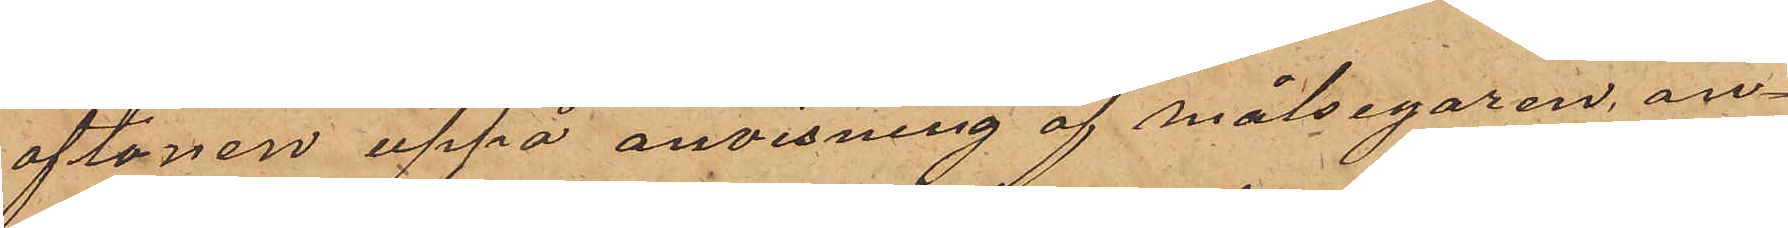aftonen uppå anvisning af målsegaren, an¬
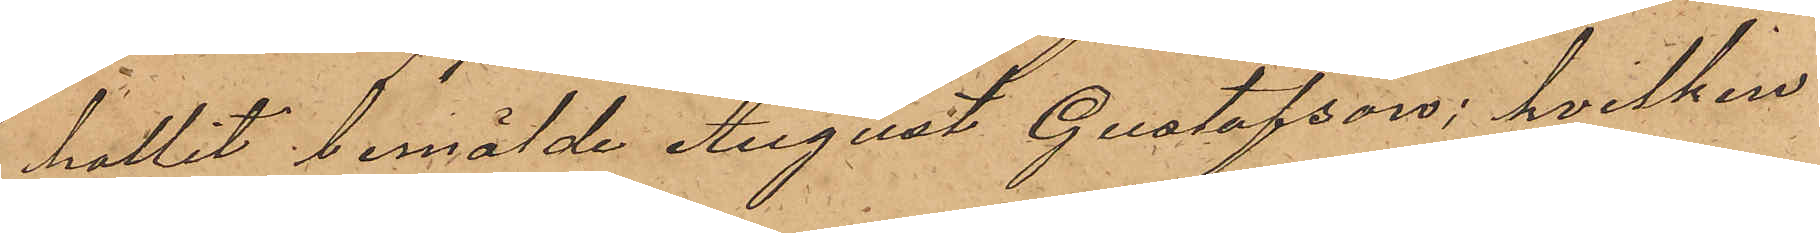hållit bemälde August Gustafsson, hvilken
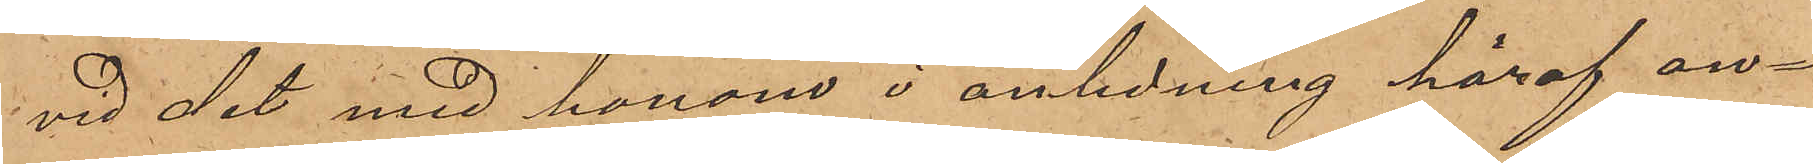vid det med honom i anledning häraf an¬
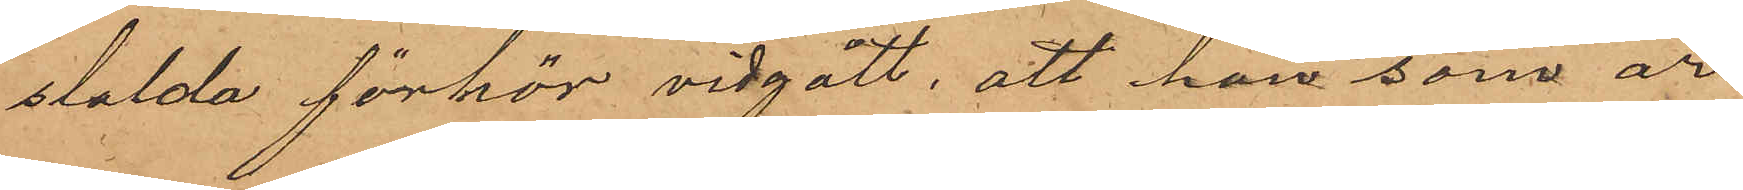stälda förhör vidgått, att han som är
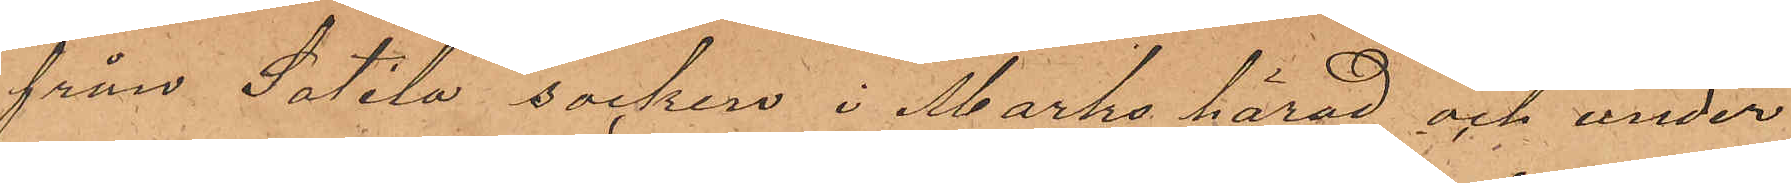från Sätila socken i Marks härad och under
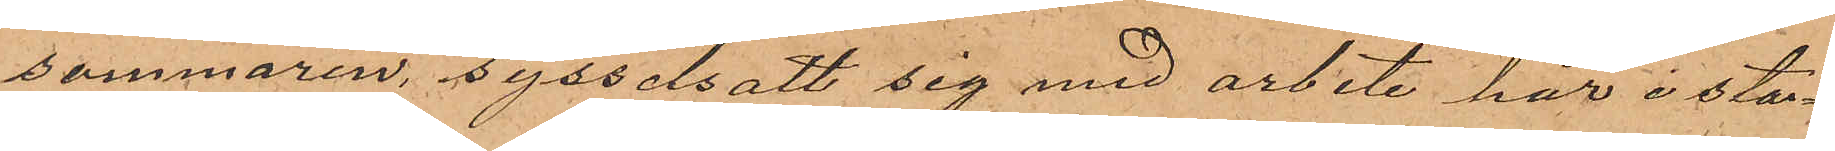sommaren sysselsatt sig med arbete här i sta¬
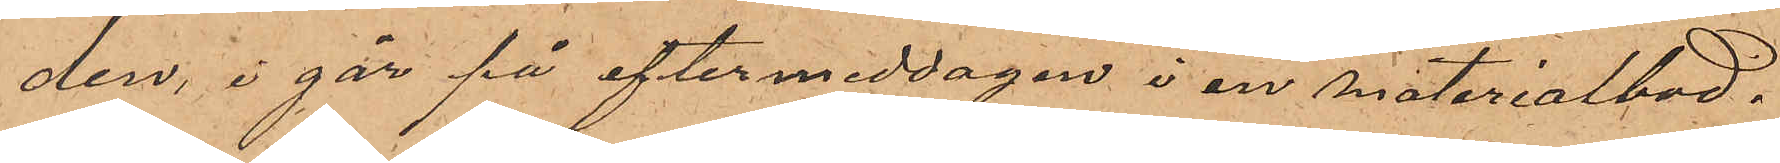den, i går på eftermiddagen i en materialbod.
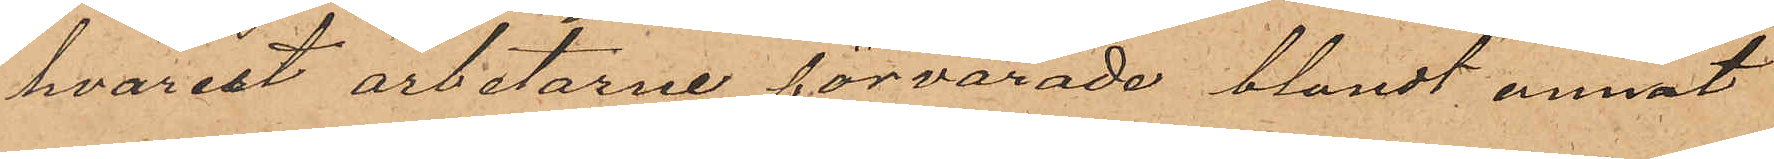hvarest arbetarne förvarade blandt annat
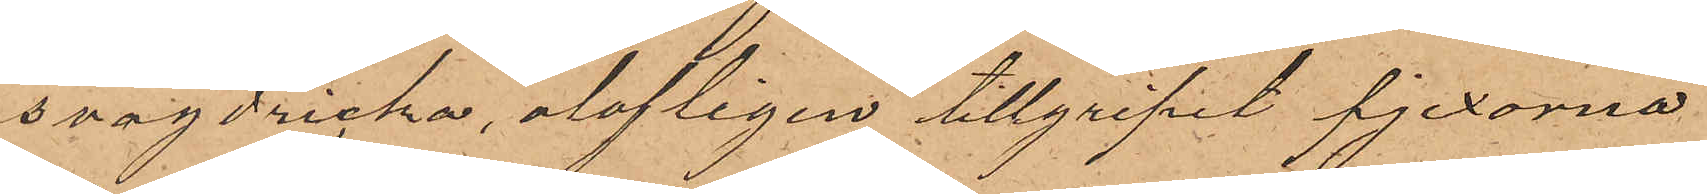svagdricka, olofligen tillgripit pjexorna
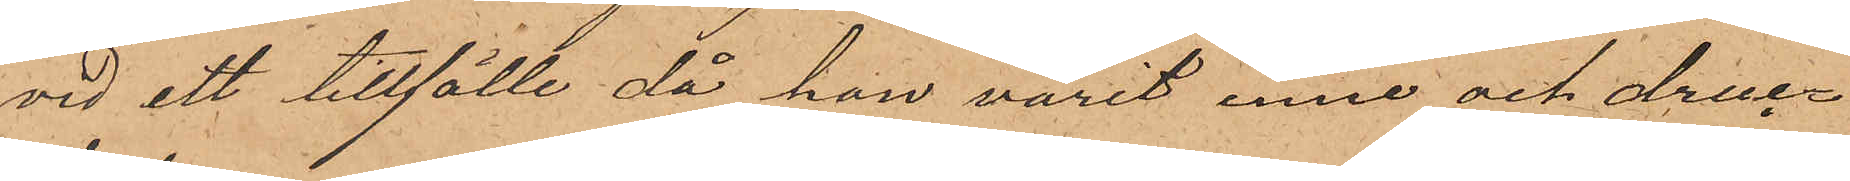vid ett tillfälle då han varit inne och druc¬
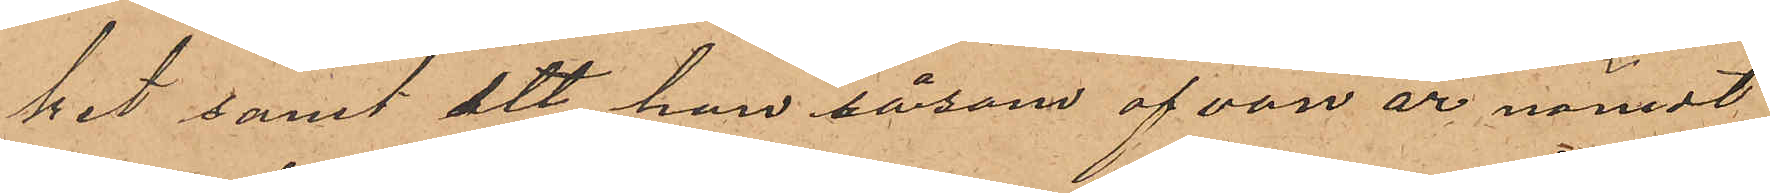kit samt att han såsom ofvan är nämdt
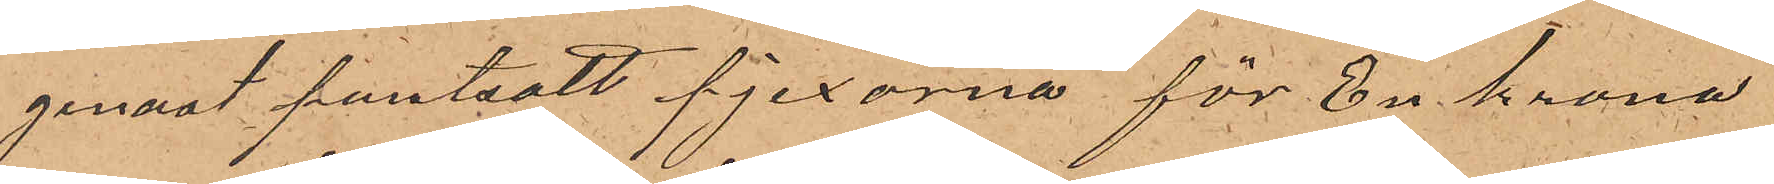genast pantsatt pjexorna för En krona
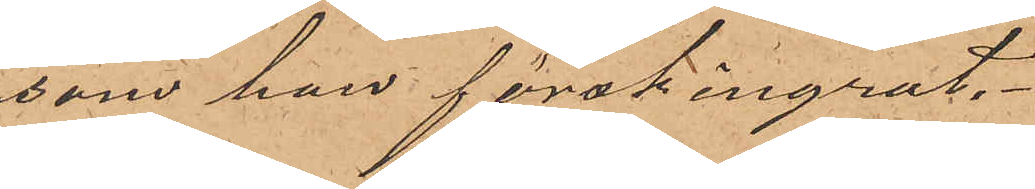som han förskingrat.
